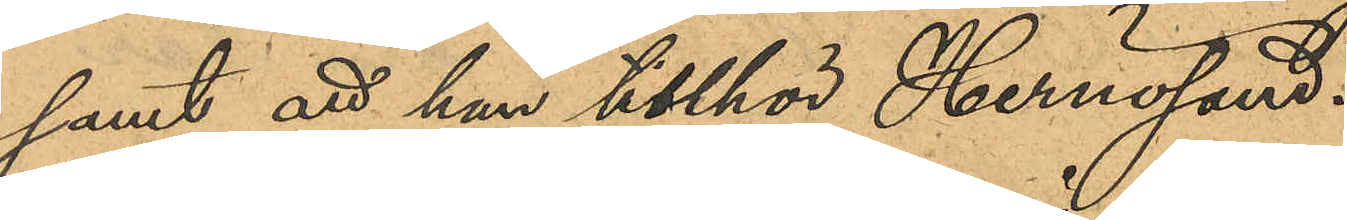samt att han tillhör Hernösand.
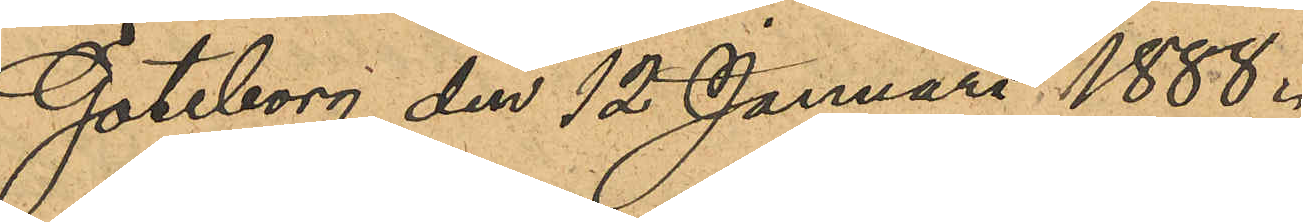Göteborg den 12 Januari 1888.
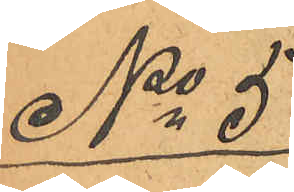No 5
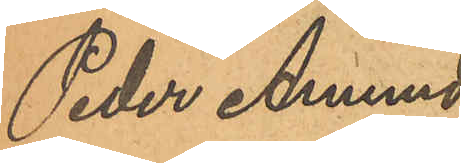Peder Amund¬
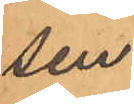sen.
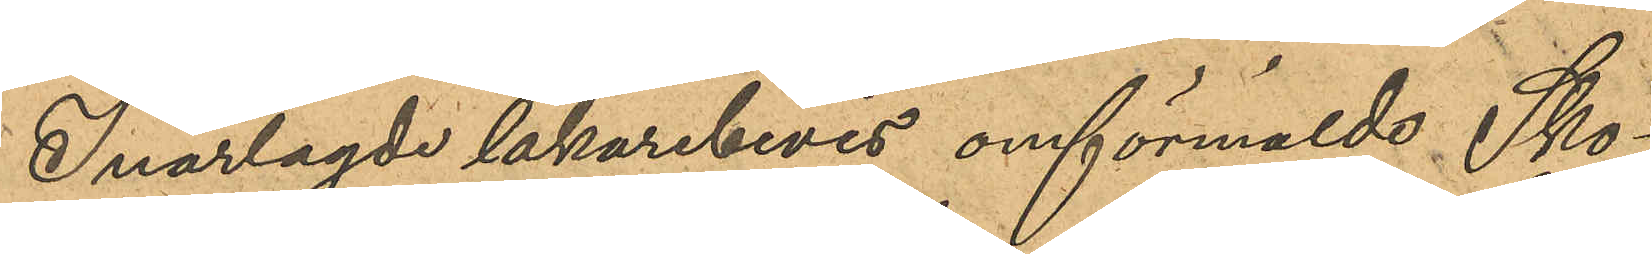I närlagde läkarbevis omförmälde Sko¬
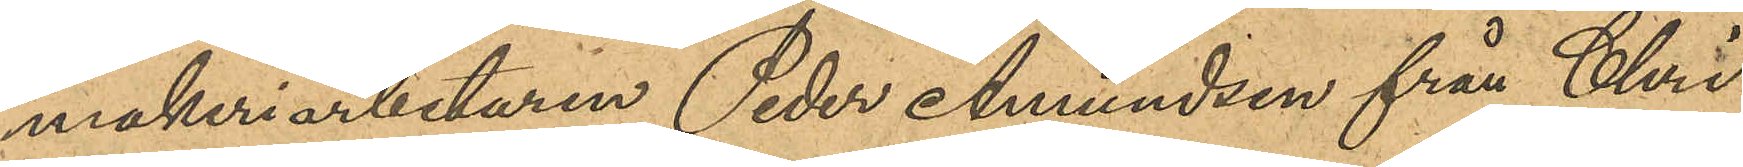makeriarbetaren Peder Amundsen från Chri¬
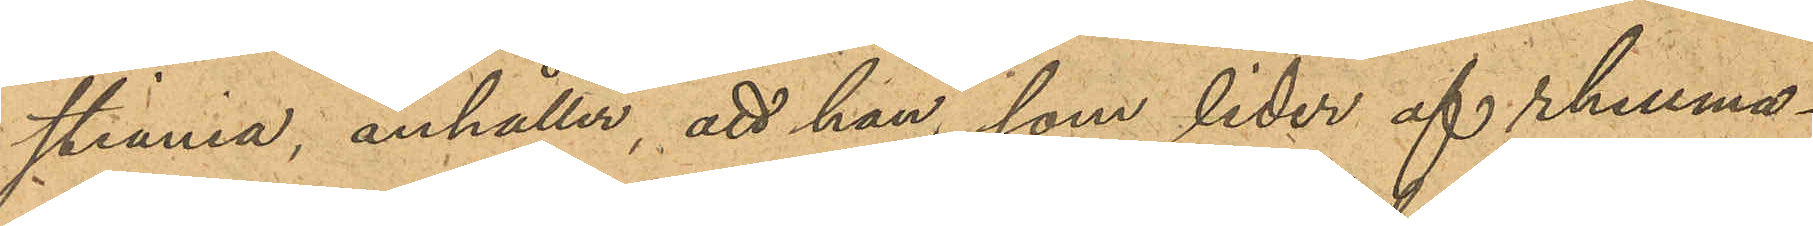stiania, anhåller, att han, som lider af rheuma¬
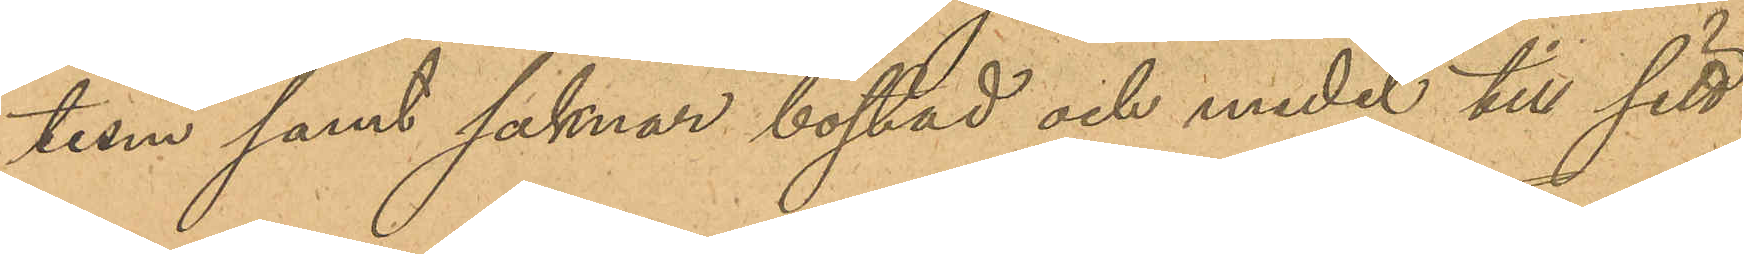tism samt saknar bostad och medel till sitt
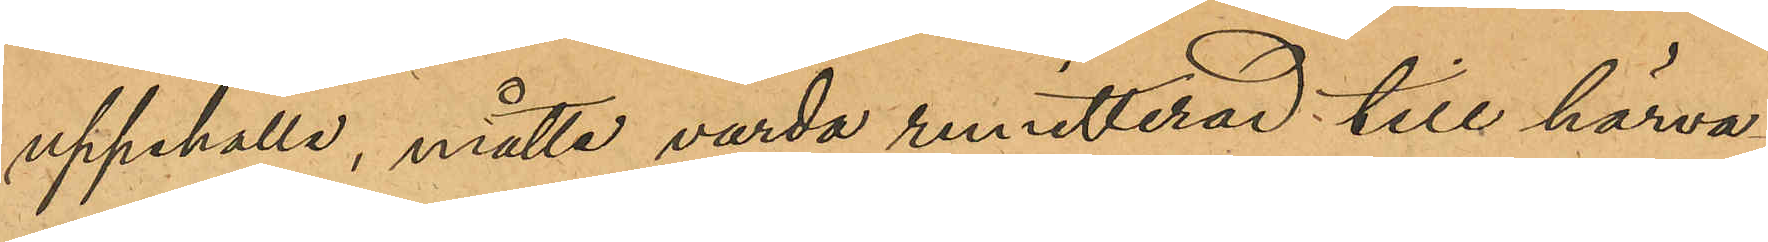uppehälle, måtte varda remitterad till härva¬
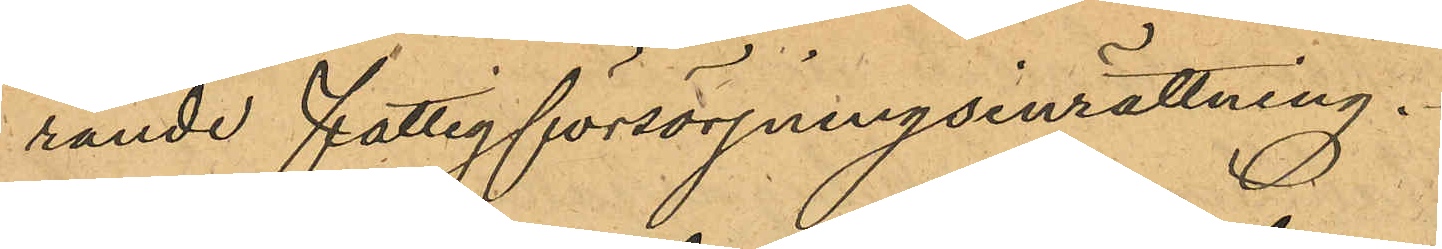rande fattigförsörjningsinrättning.
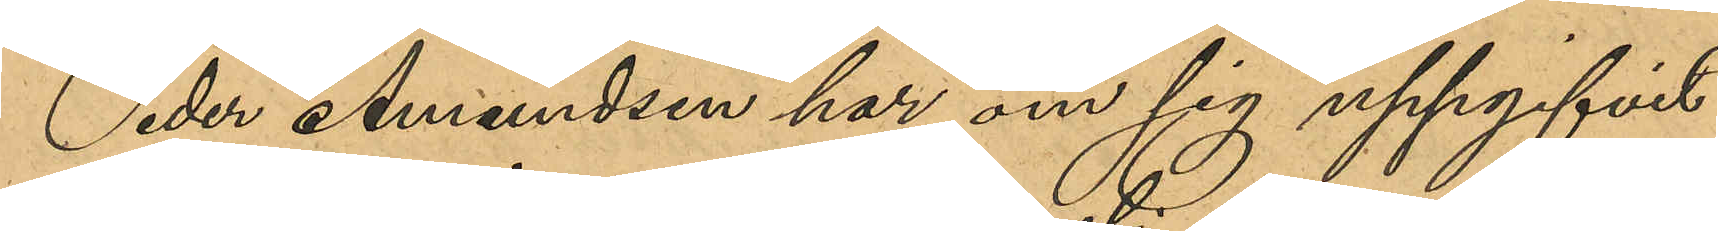Peder Amundesen har om sig uppgifvit
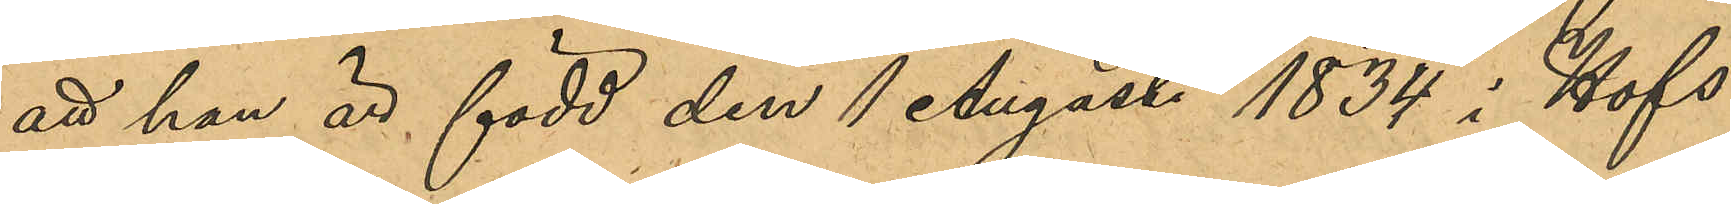att han är född den 1 Augusti 1834 i Hofs
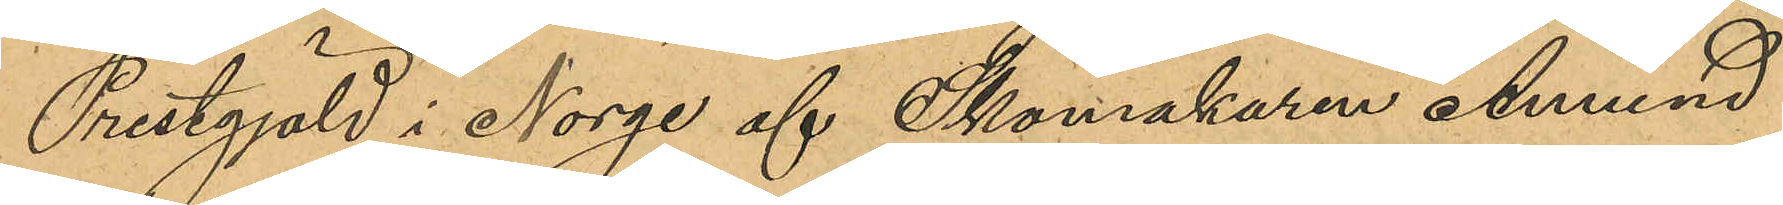Prestgjäld i Norge af Skomakaren Amund
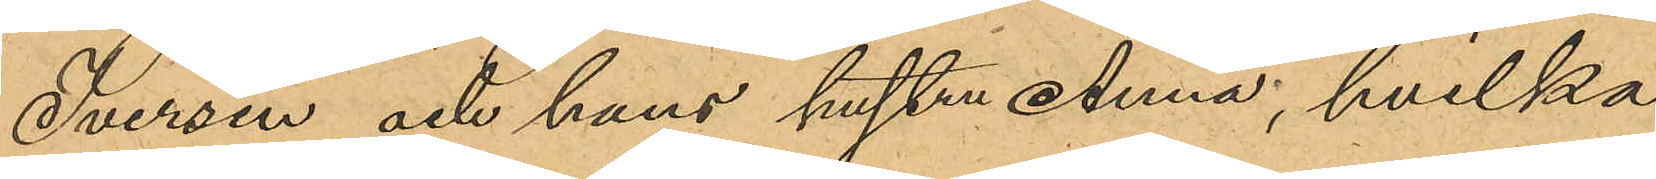Iversen och hans hustru Anna, hvilka
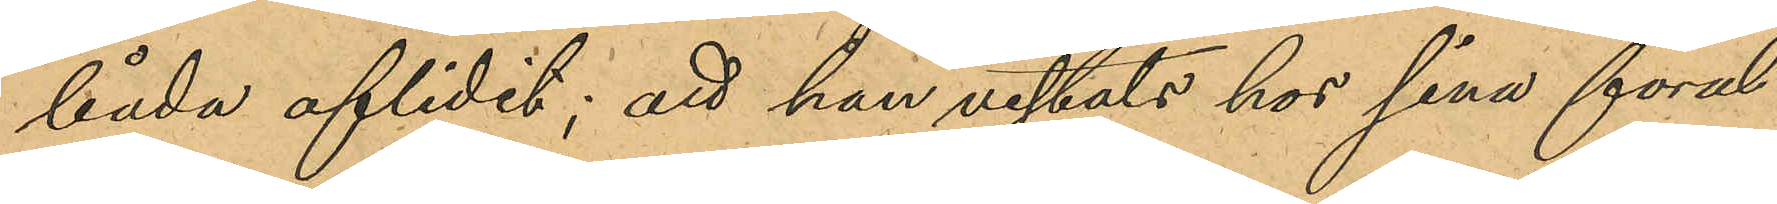båda aflidit; att han vistats hos sina föräl¬
